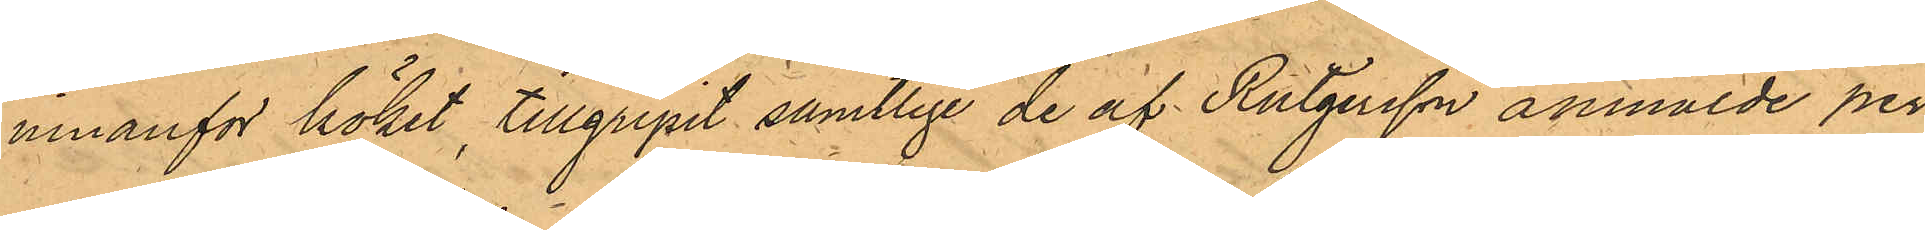innanför köket, tillgripit samtlige de af Rutgersson anmälde per¬
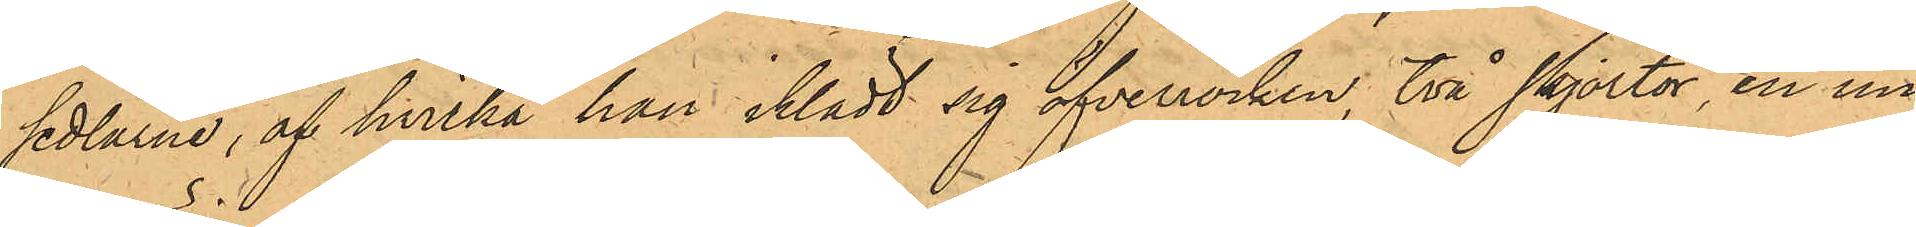sedlarne; af hvilka han iklädt sig öfverrocken, två skjortor, en un¬
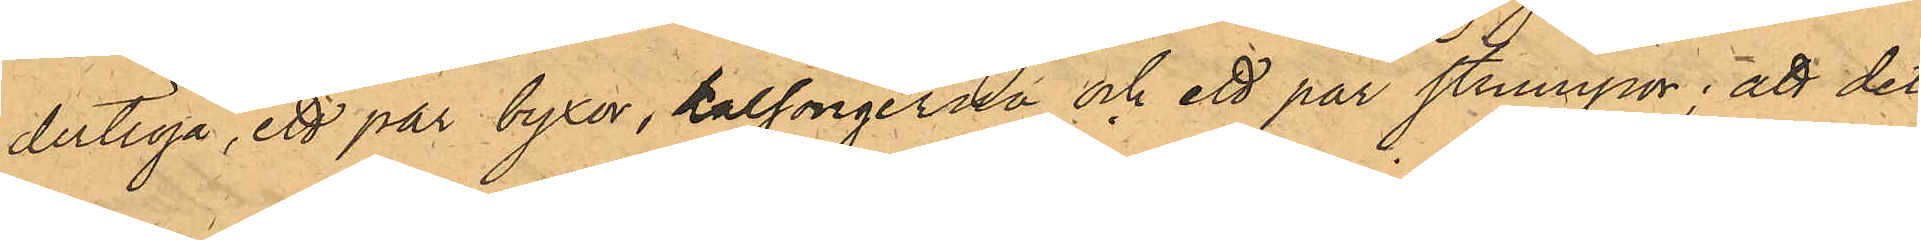dertröja, ett par byxor, kalsongerna och ett par strumpor; att det
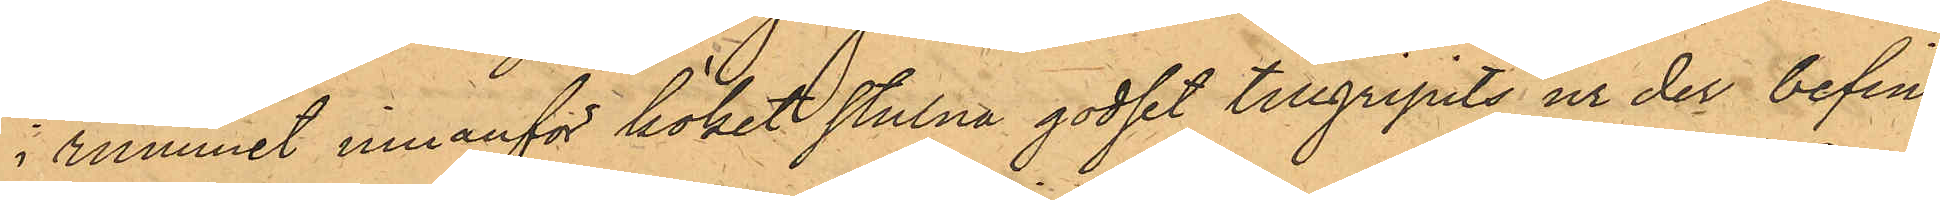i rummet innanför köket stulna godset tillgripits ur der befint¬
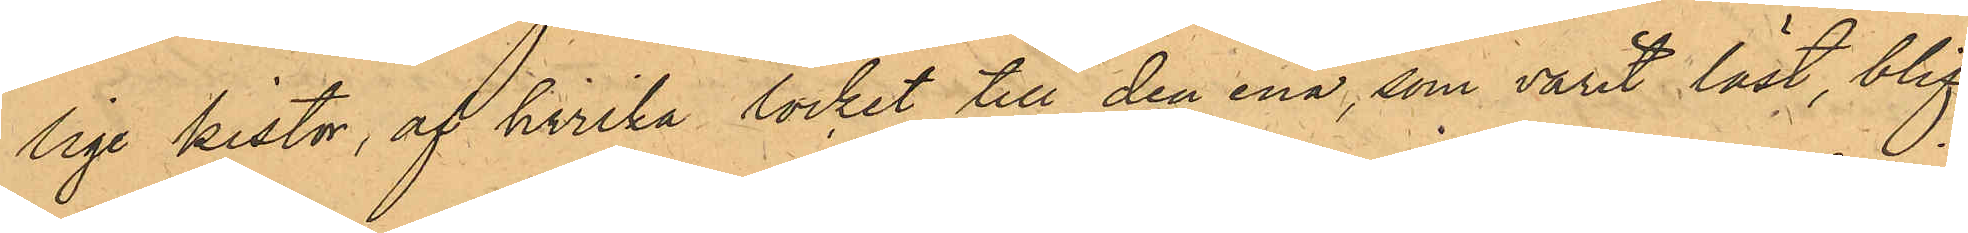lige kistor, af hvilka locket till den ena, som varit låst, blif¬
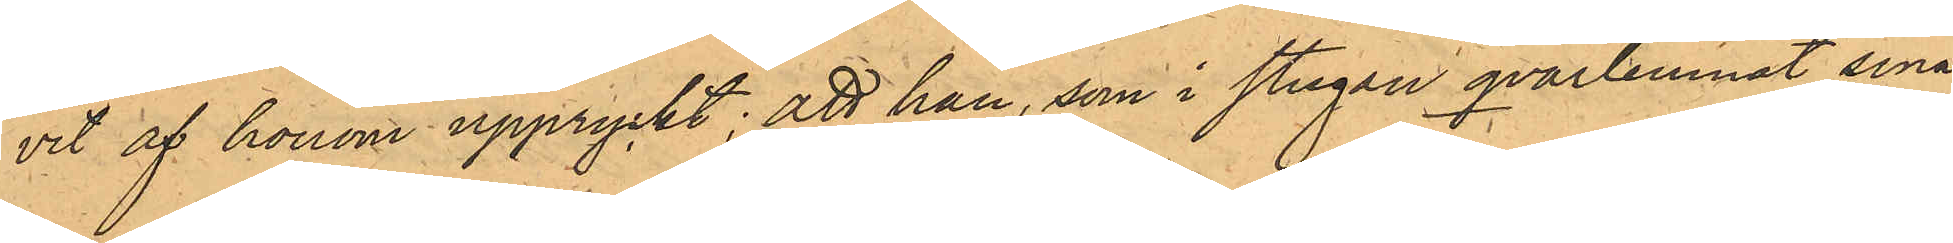vit af honom uppryckt; att han, som i stugan qvarlemnat sina
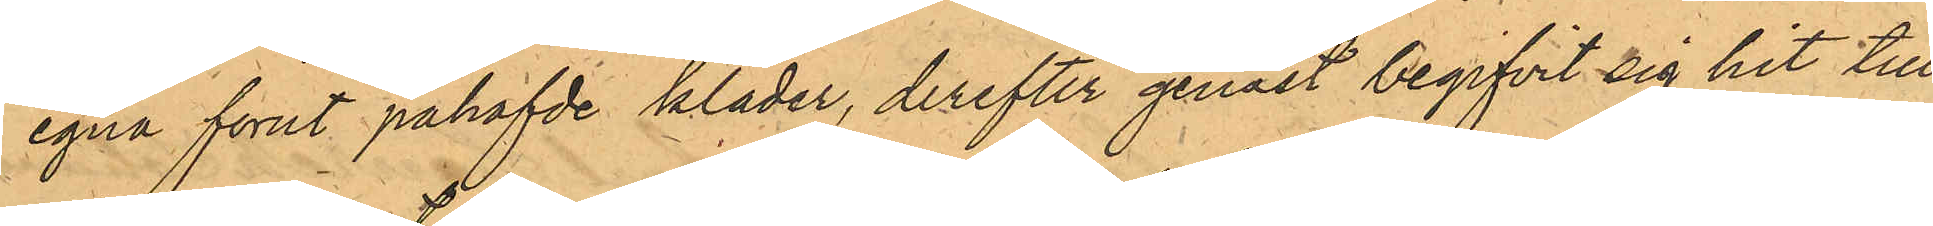egna förut påhafvde kläder, derefter genast begifvit sig hit till¬
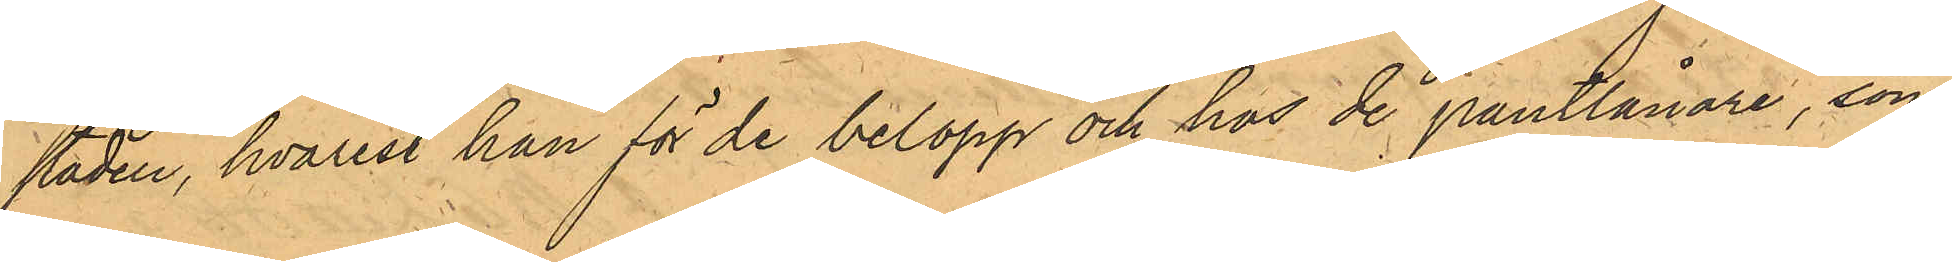staden, hvarest han för de belopp och hos de pantlånare, som
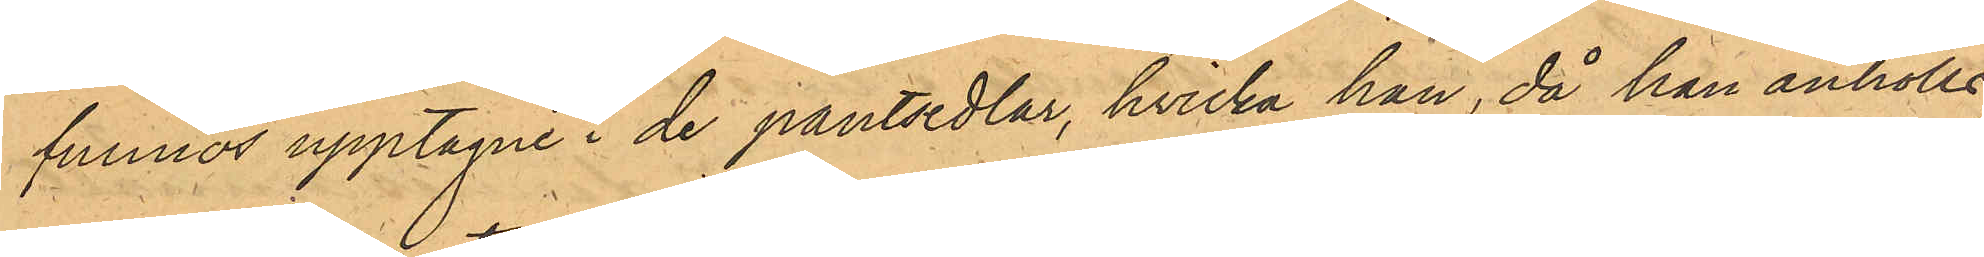funnos upptagne i de pantsedlar, hvilka han, då han anhölls
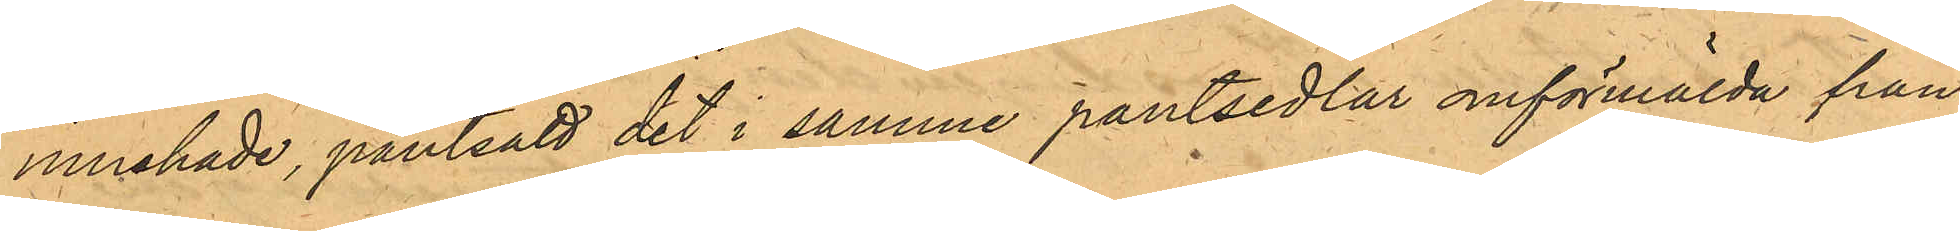innehade, pantsatt det i samme pantsedlar omförmälda från
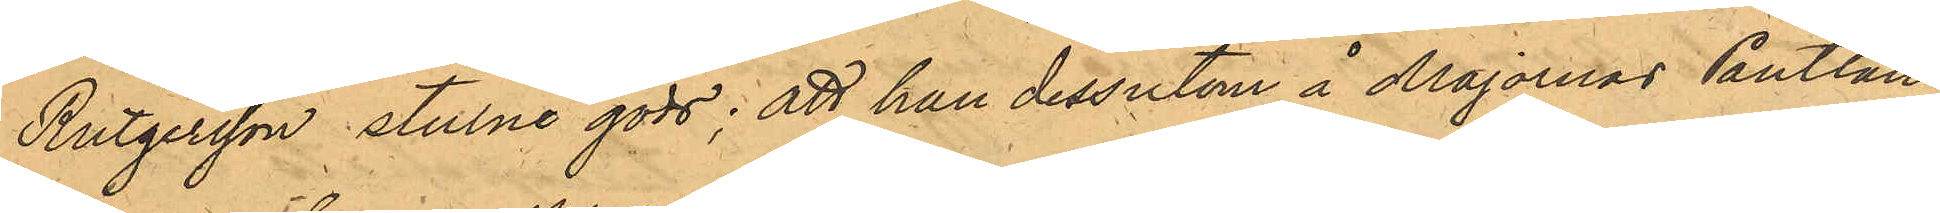Rutgersson stulne gods; att han dessutom å Majornas Pantlåne¬
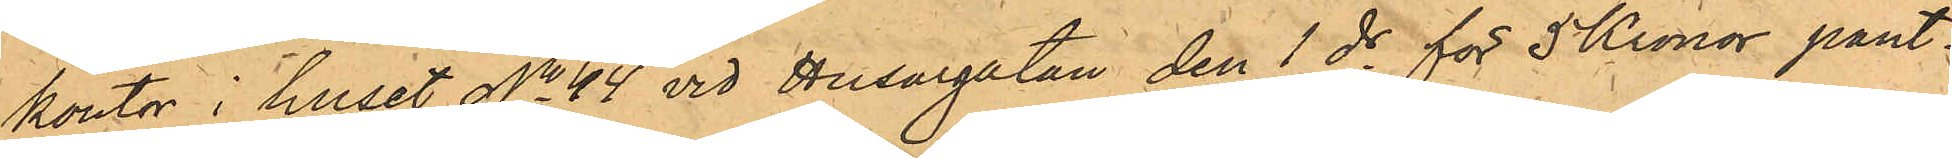kontor i huset No 44 vid Husargatan den 1 ds för 5 Kronor pant¬
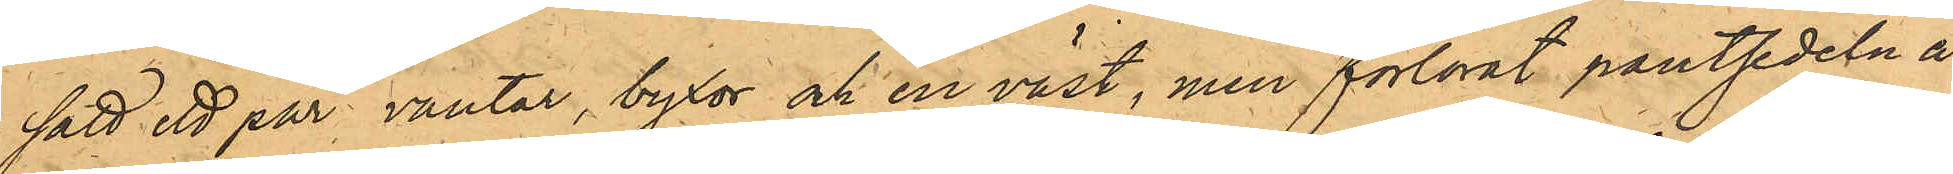satt ett par vantar, byxor och en väst, men förlorat pantsedeln å
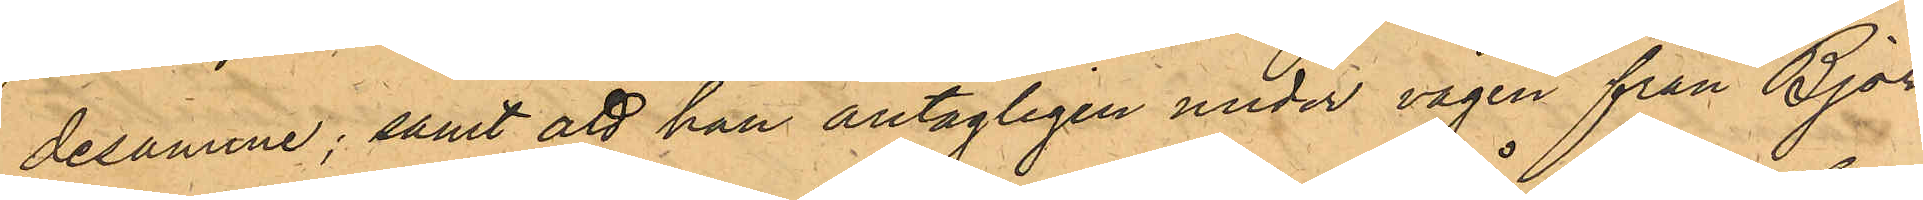desamme; samt att han antagligen under vägen från Björ¬
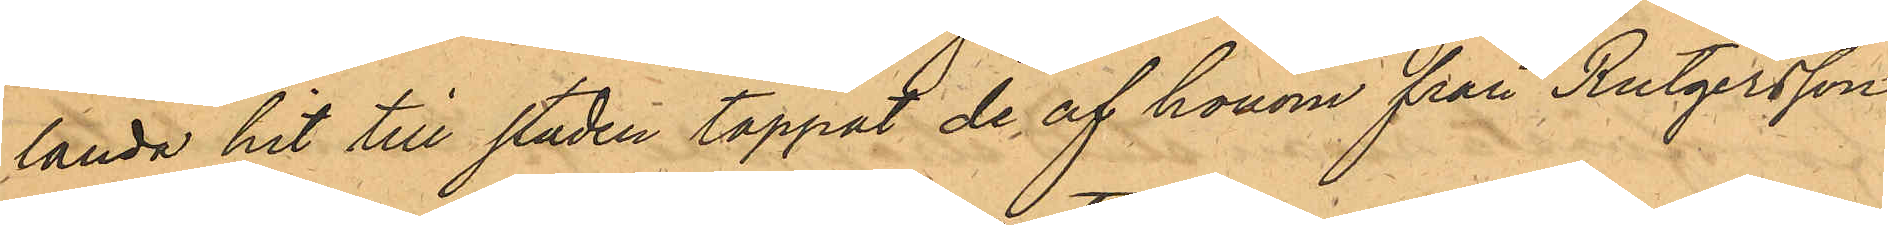landa hit till staden tappat de af honom från Rutgersson
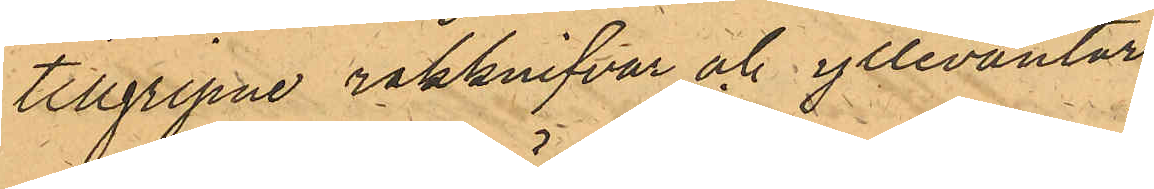tillgripne rakknifvar och yllevantar.
